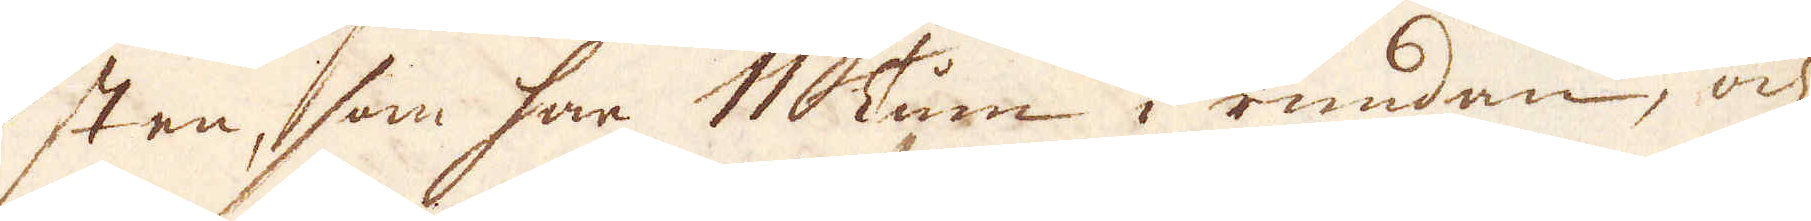sten, som har 11 Tum i rundan, och
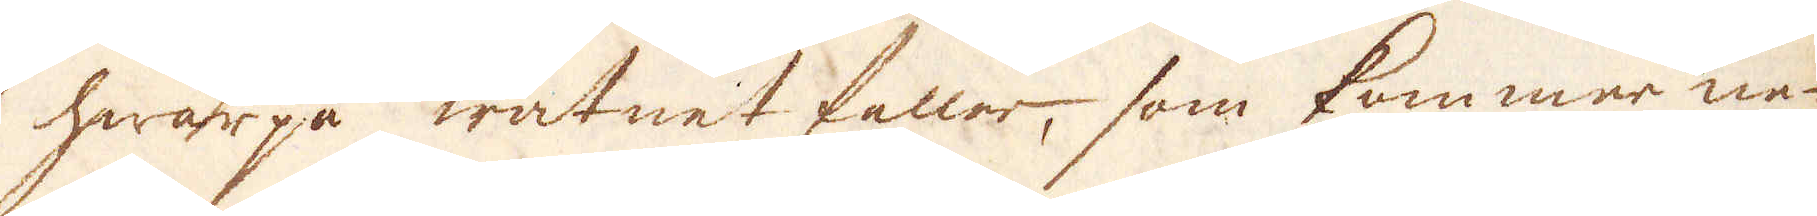hwarpå watnet faller, som kommer ne-
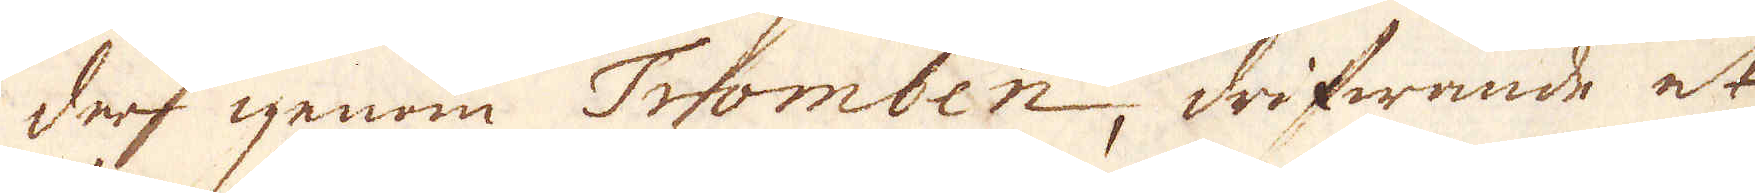der igenom Tromben, drifwande et
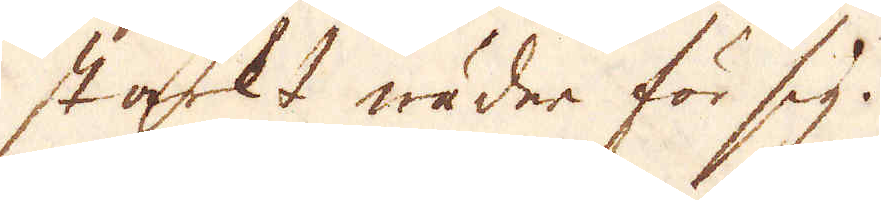starkt wäder för sig.
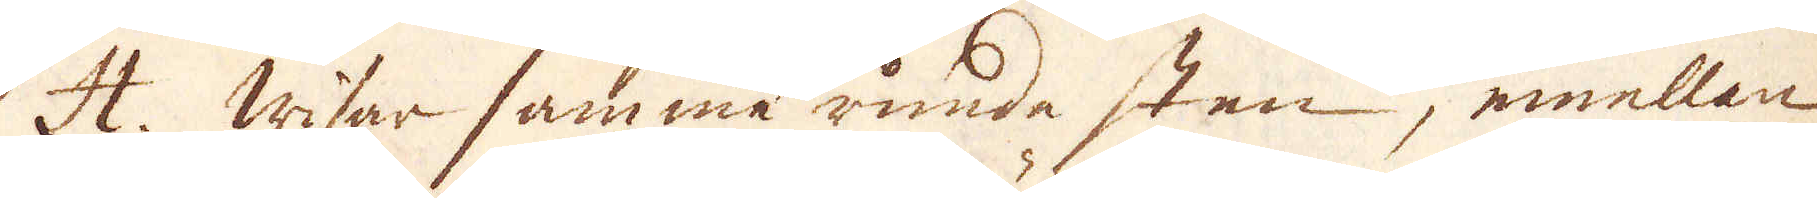H. Wisar samma runda sten, emellan
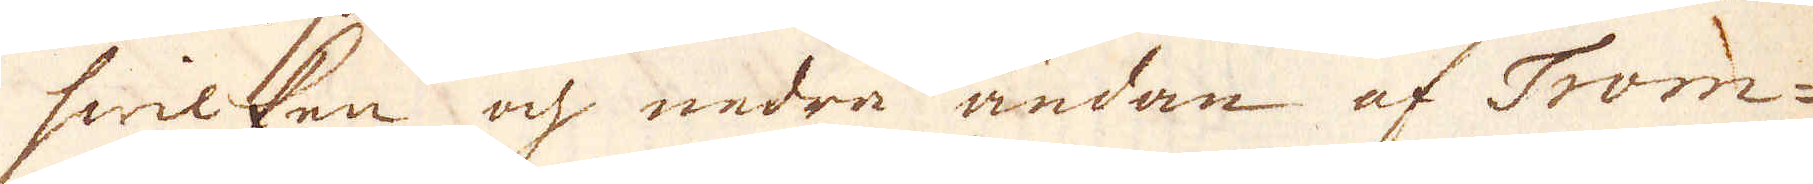hwilken och nedra ändan af Trom-
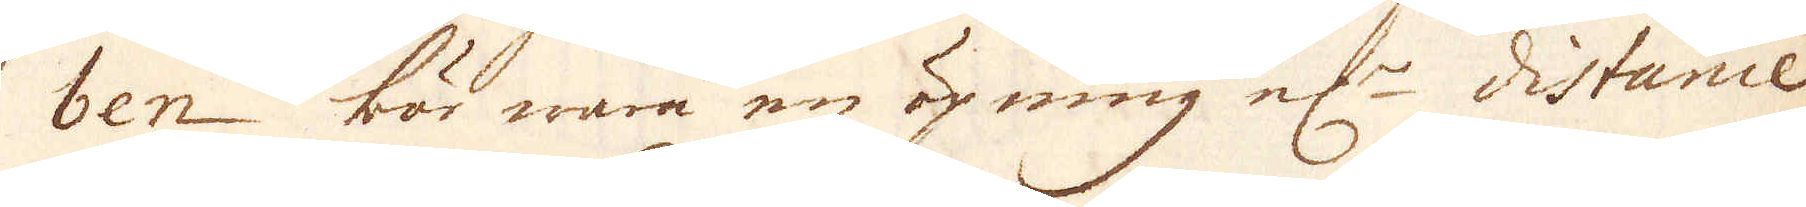ben bör wara en öpning el:r distance
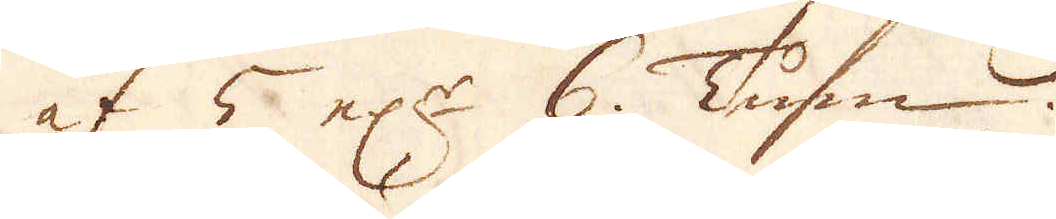af 5 el:r 6. Tum.
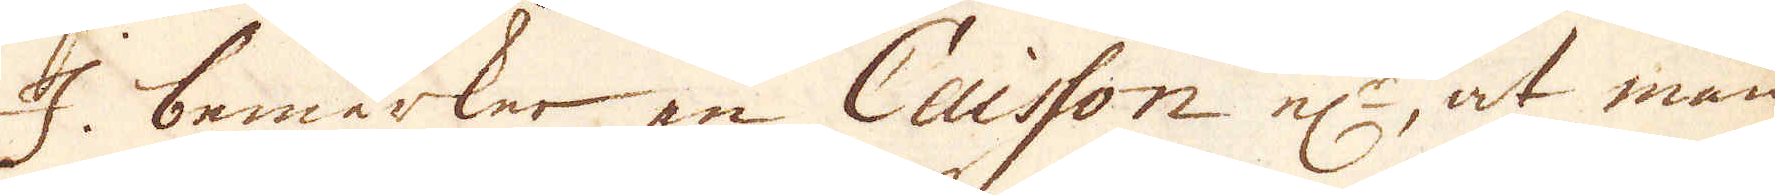I. bemärker en Caisson el:r, at man
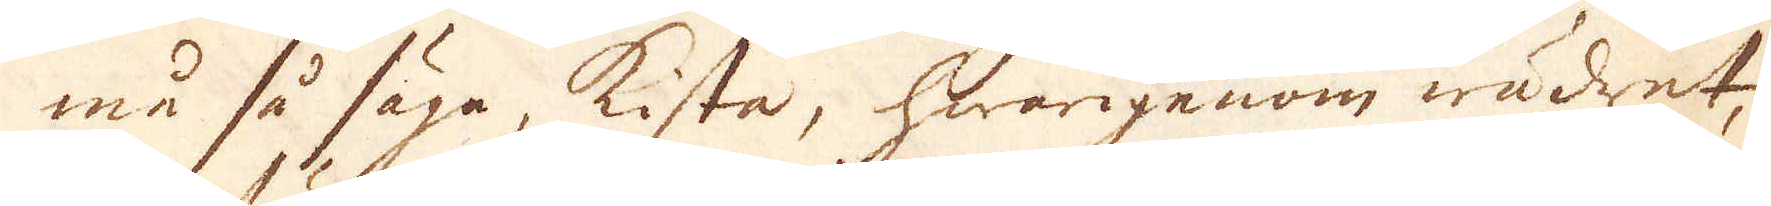må så säga, kista, hwarigenom wädret,
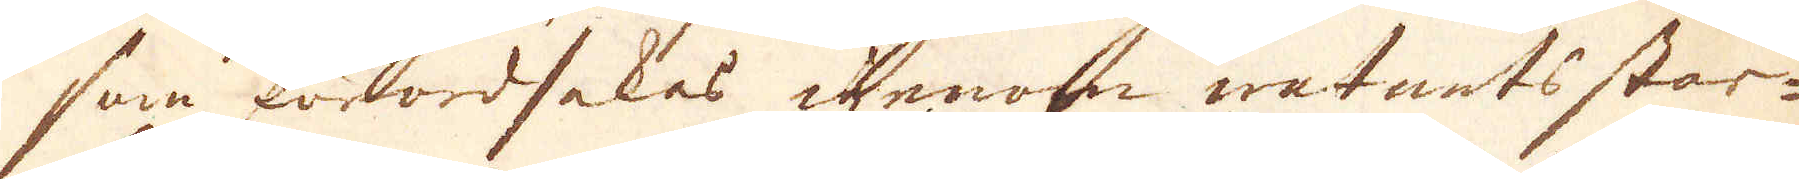som förordsakas igenom watnets star-
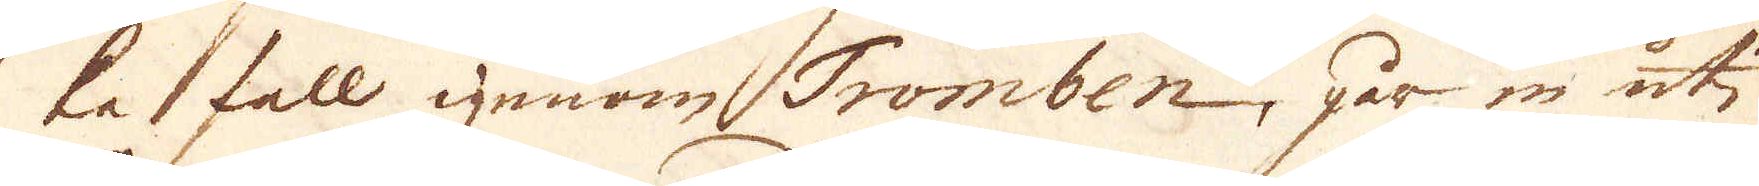ke fall genom Tromben, går in uti
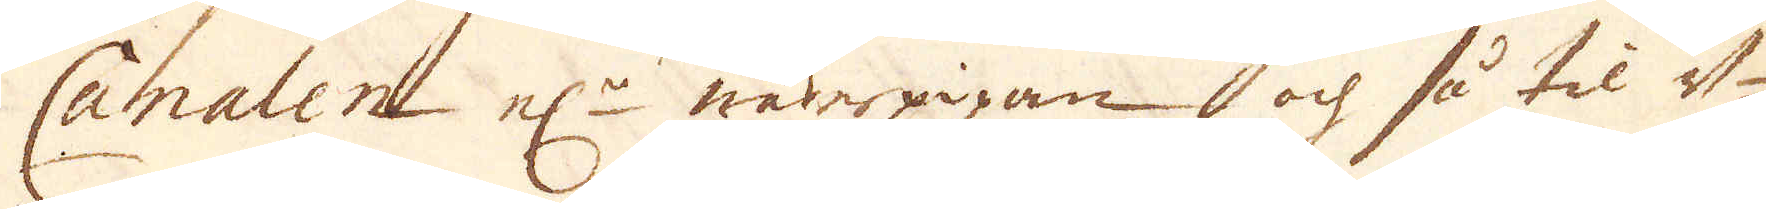Canalen el:r wäderpipan och så til d-
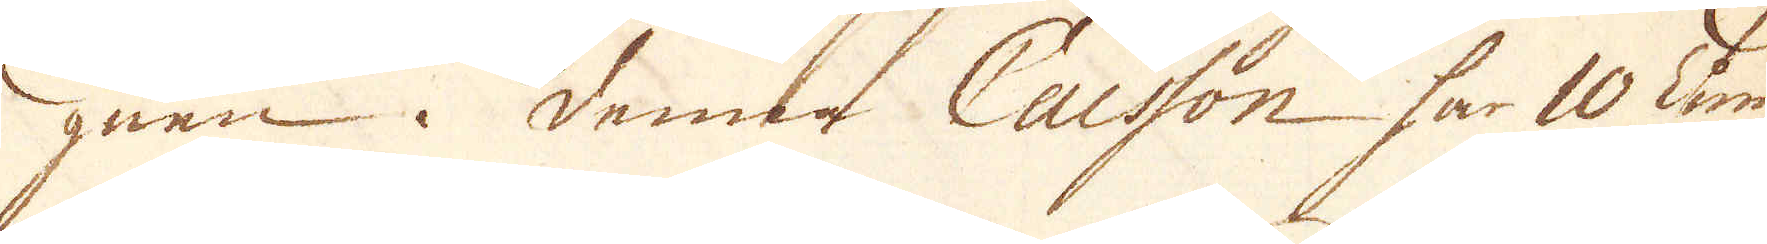gnen i denna Caisson har 10 Tum
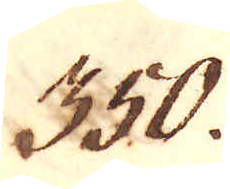350.
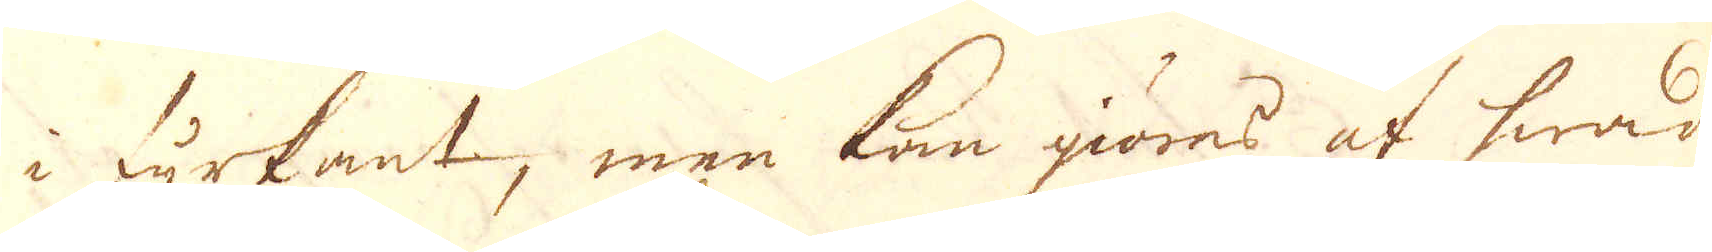i fyrkant, men kan giöres af hwad
